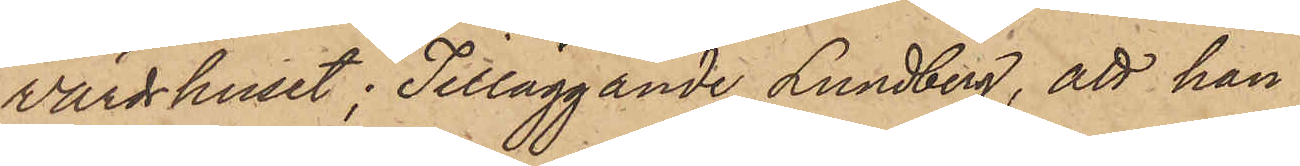Värdshuset; Tilläggande Lundberg, att han
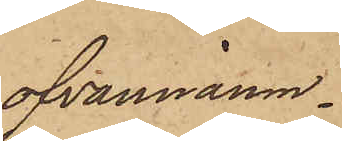ofvannämn¬
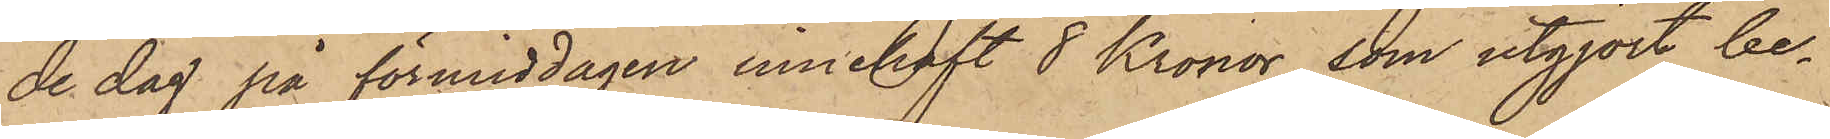de dag på förmiddagen innehaft 8 Kronor, som utgjort be¬
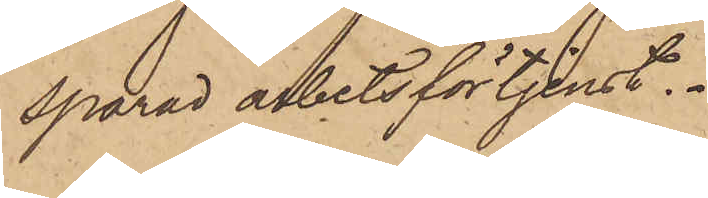sparad arbetsförtjenst.
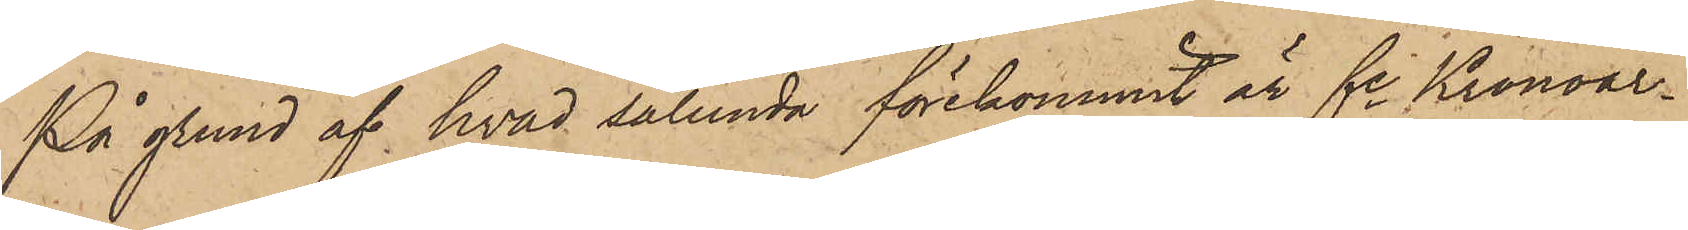På grund af hvad sålunda förekommit är fe Kronoar¬
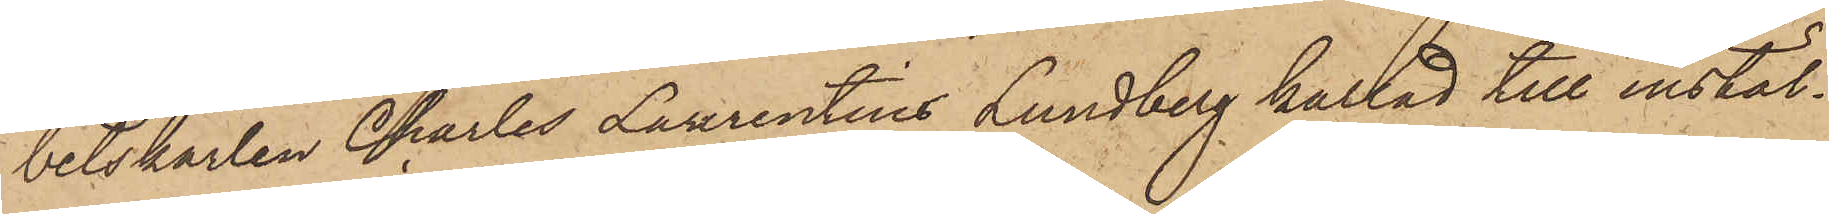betskarlen Charles Laurentius Lundberg kallad till instäl¬
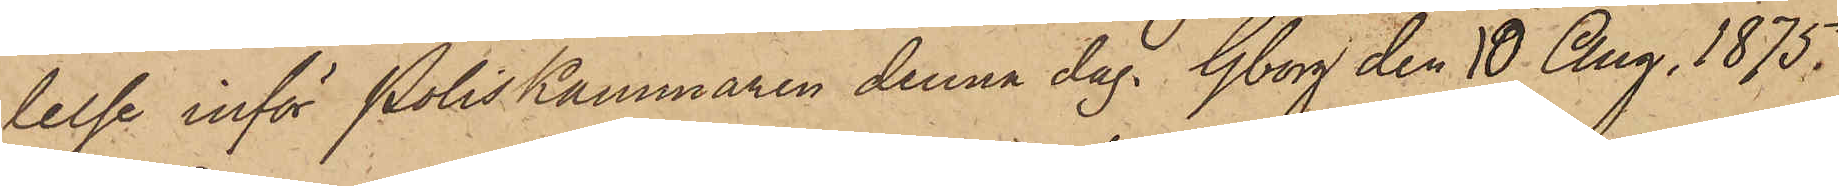lelse inför Poliskammaren denna dag. Gborg den 10 Aug. 1875.
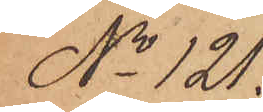No 121.
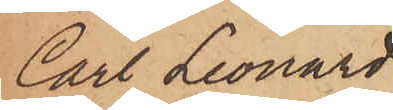Carl Leonard
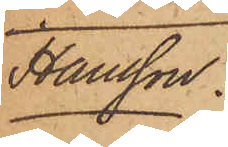Hansson.
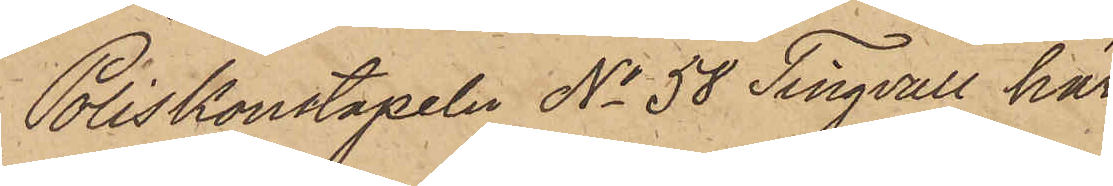Poliskonstapeln No 58 Tingvall har
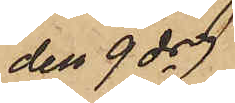den 9 ds 
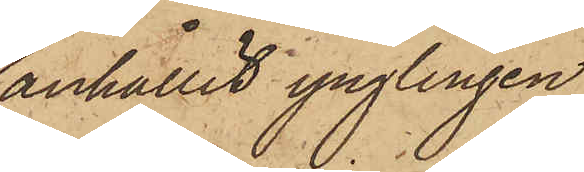anhållit ynglingen
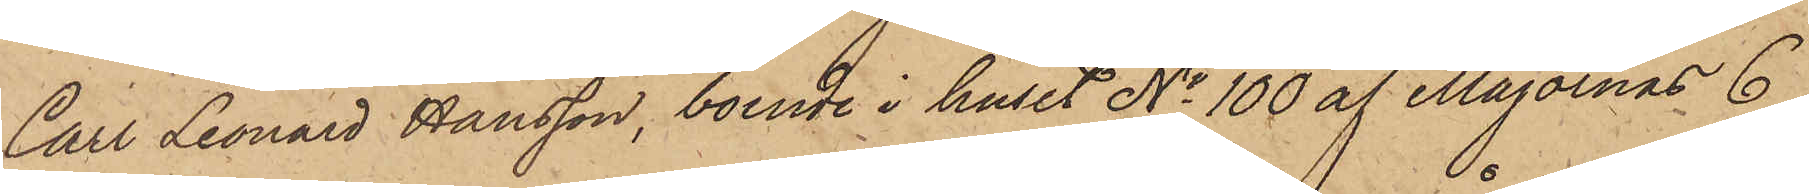Carl Leonard Hansson, boende i huset No 100 af Majornas 6
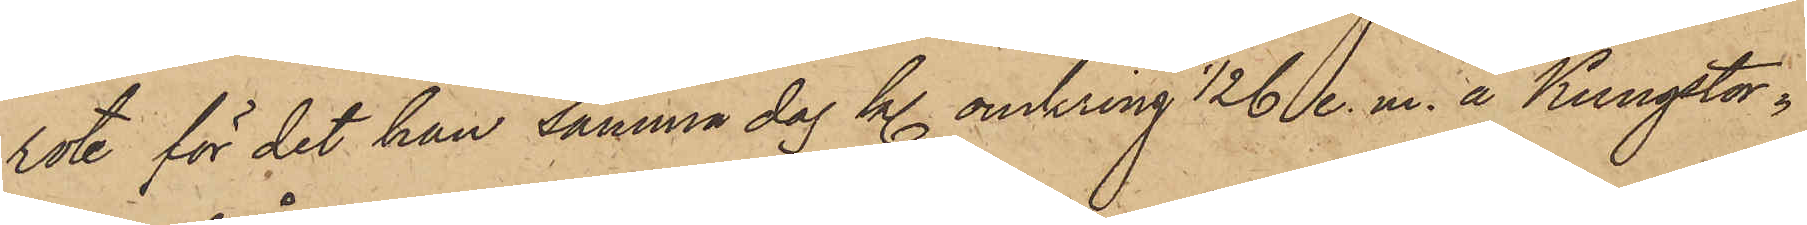rote, för det han samma dag kl. omkring 1/2 6 e. m. å Kungstor¬
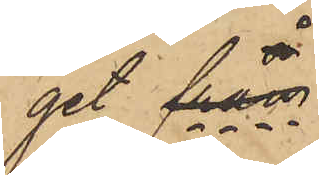get från
